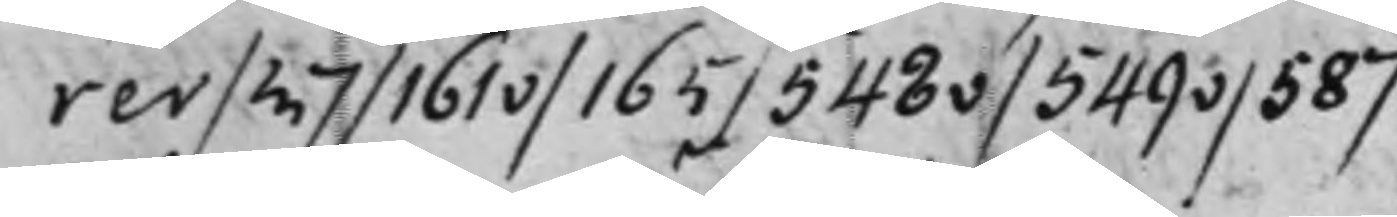rer / 37 / 161v / 165 / 543v / 549v /587
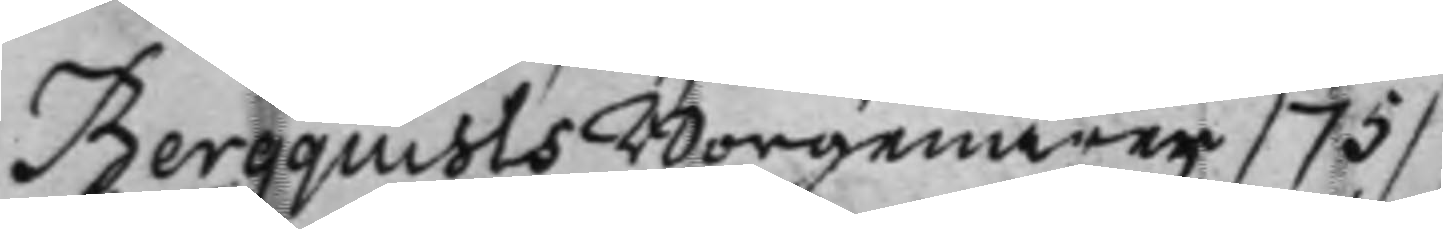Bergquists Borgenärer / 75 /
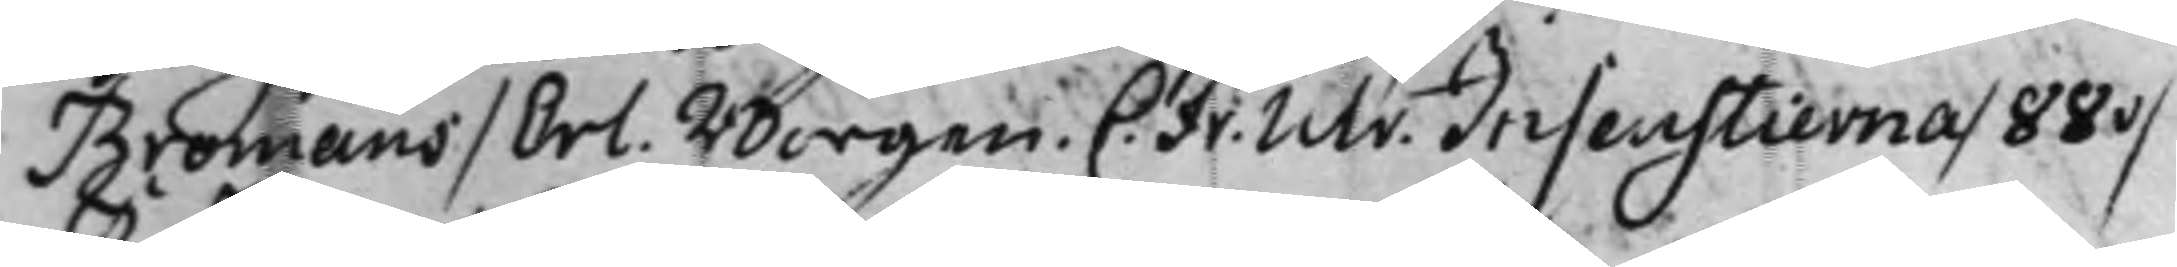Bromans / Erl. Borgen. C: Fr. Ulr. Insenstierna / 88v / 
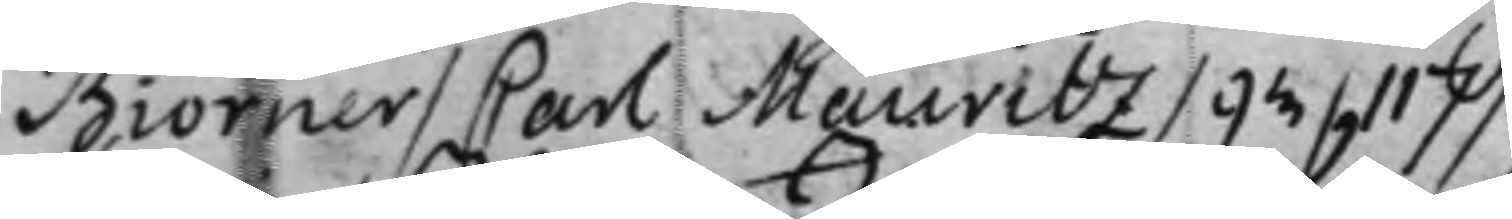Biörner / Carl Mauritz / 93 / 117
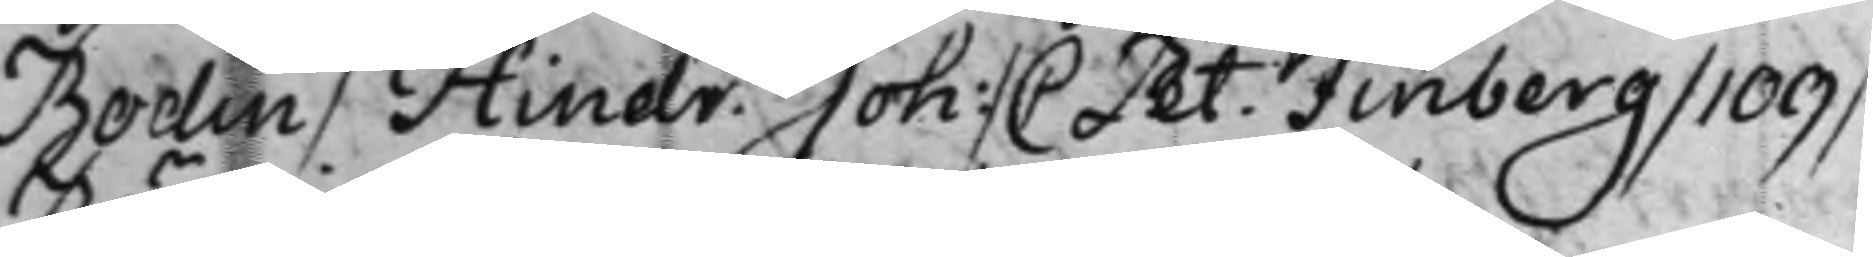Bodin / Hindr. Joh: / C Pet: Finberg / 109 / 
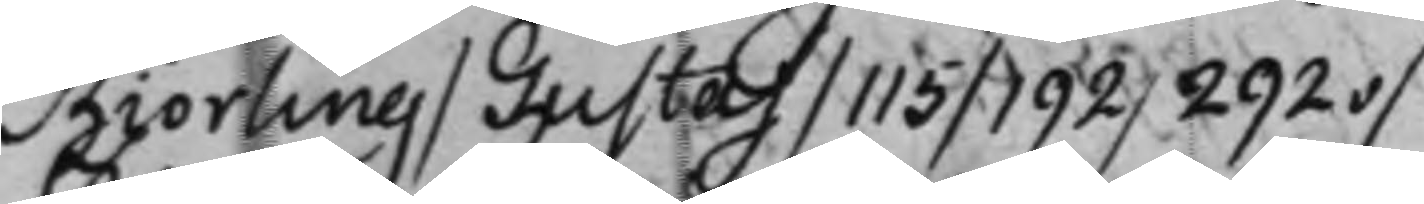Biörling / Gustaf / 115 / 192 / 292v /
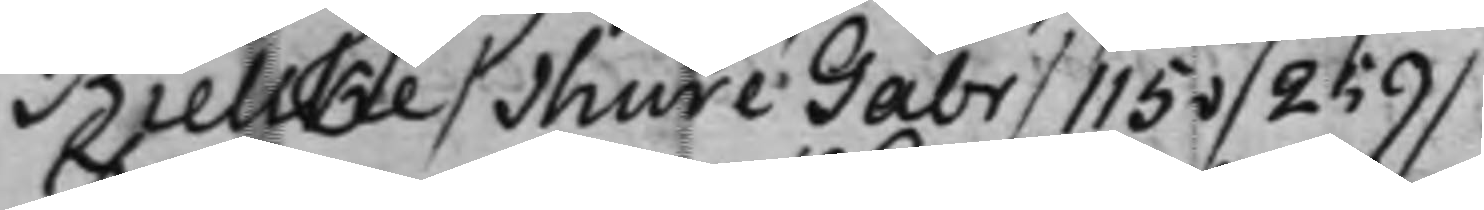Bielke / Thure Gabr / 115v / 259 /
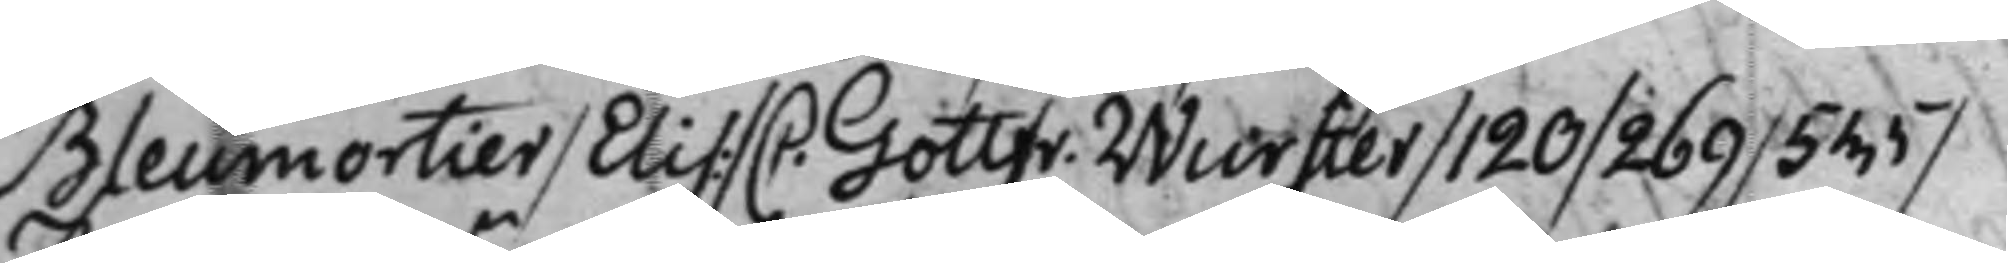Bleumortier / Elis: / C. Gottfr. Wurster / 120 / 269 / 555 / 
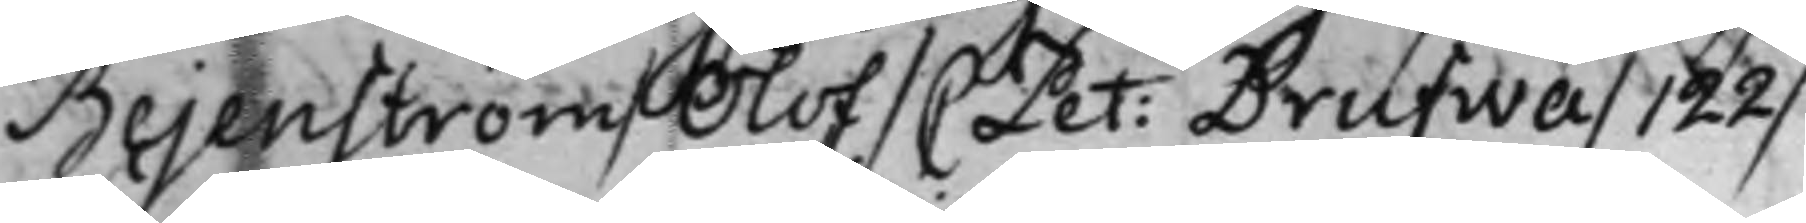Bejenström / Olof / C Pet: Drufwa / 122 / 
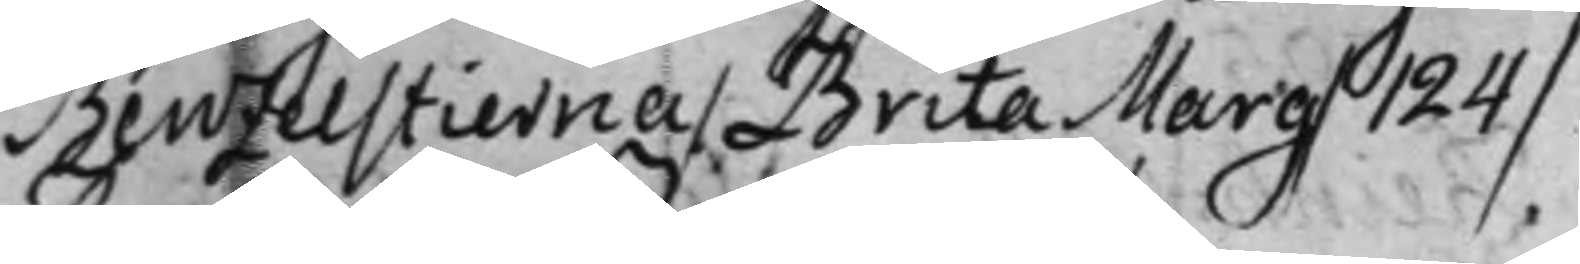Benzelstierna / Brita Marg / 124 /
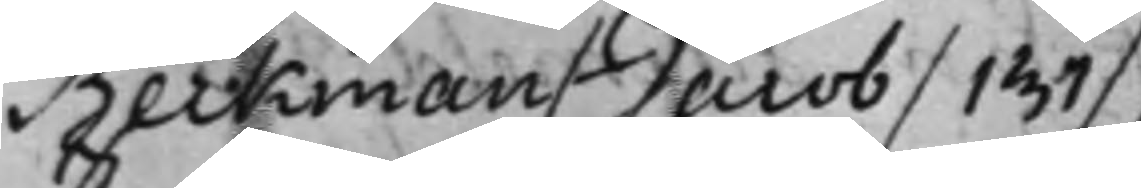Beckman / Jacob / 137 /
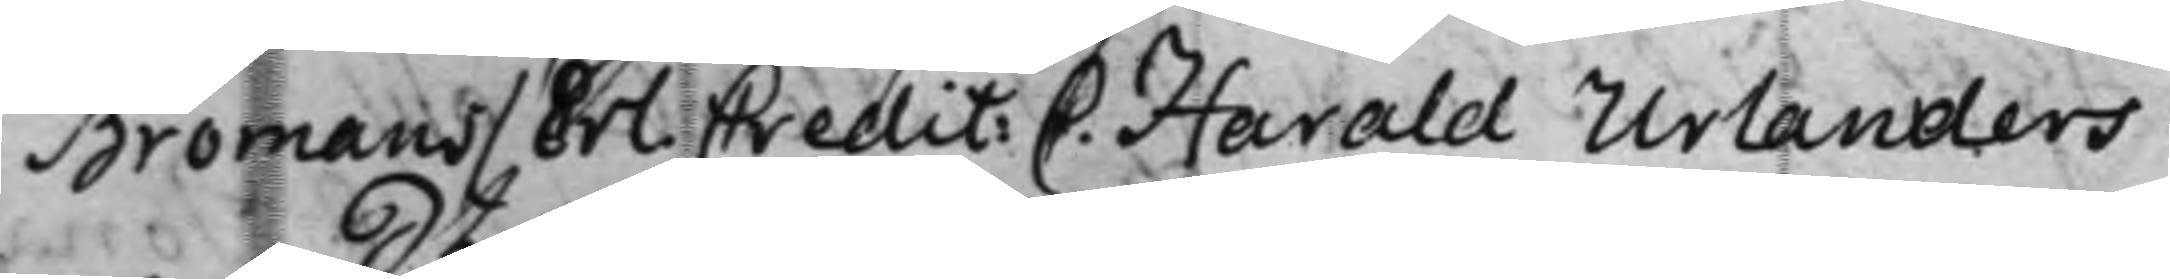Bromans / Erl. Credit: C. Harald Urlanders 
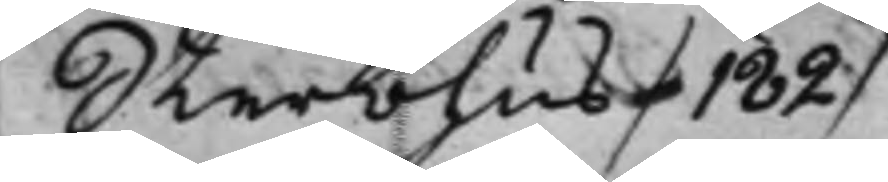Sterbhus / 182 /
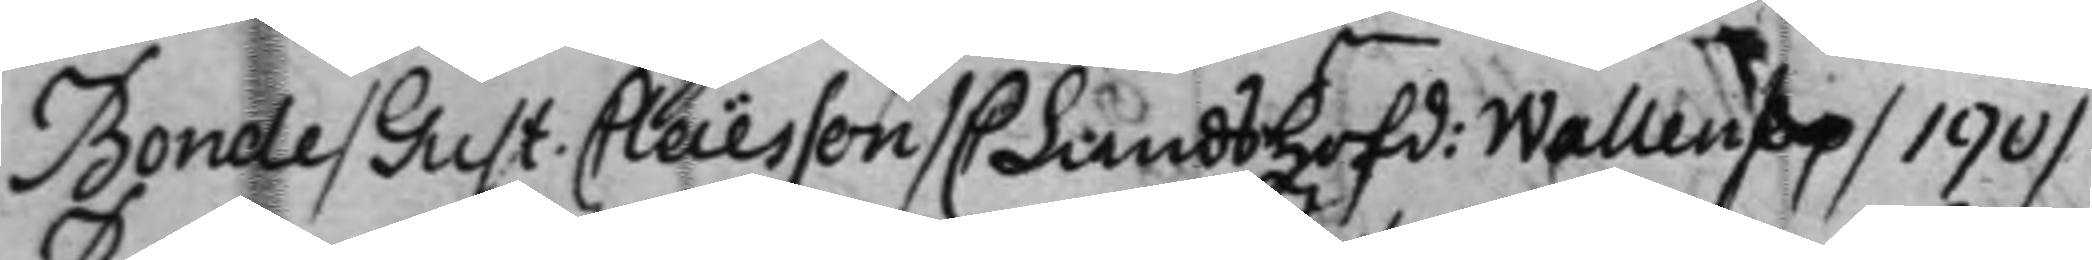Bonde / Gust. Claësson / C Landshöfd: Wallen / 9 / 190 / 
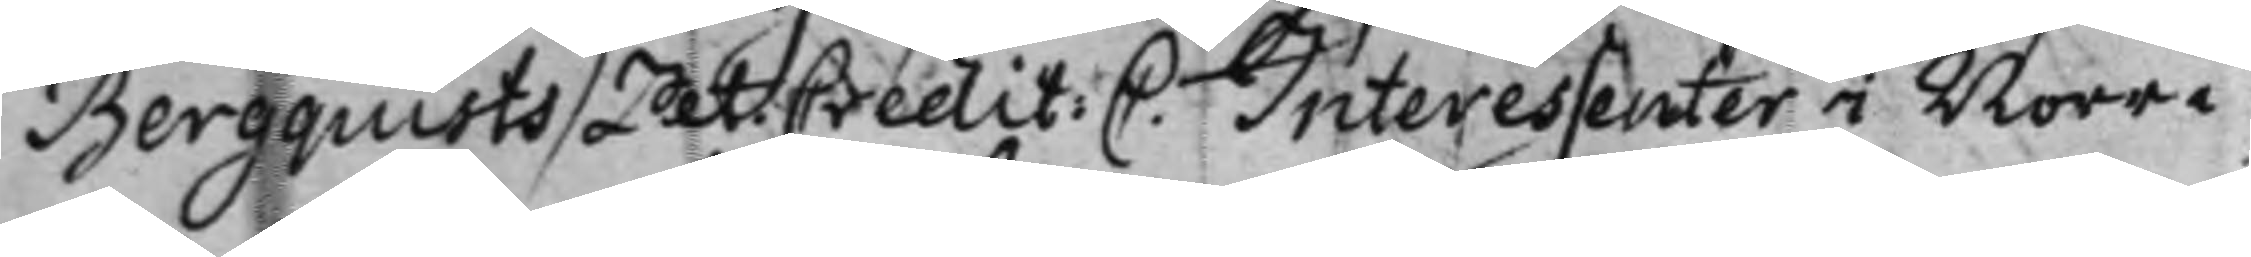Bergquists/ Pet: Credit: C. Interessenter i Norra 
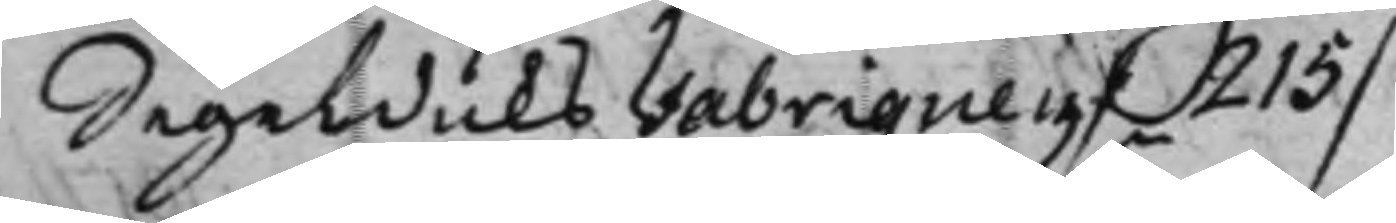Segelduks Fabriquen / 215 /
